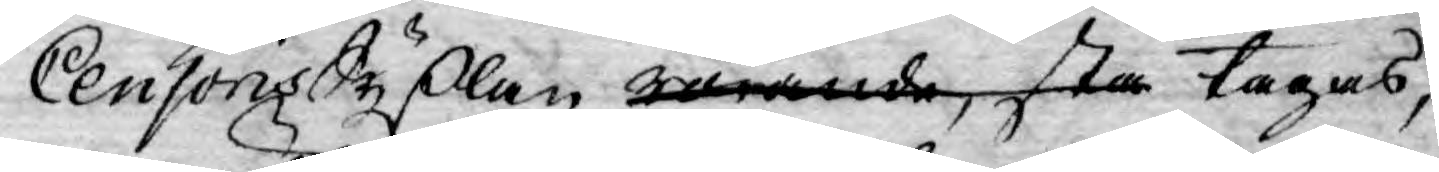Censoris Sysslan rörande, sta tagas,
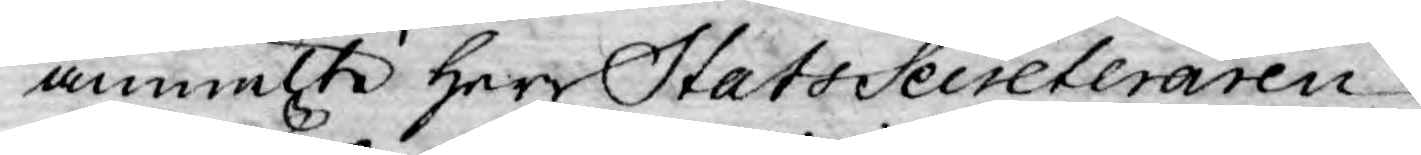anmälte herr StatsSecreteraren
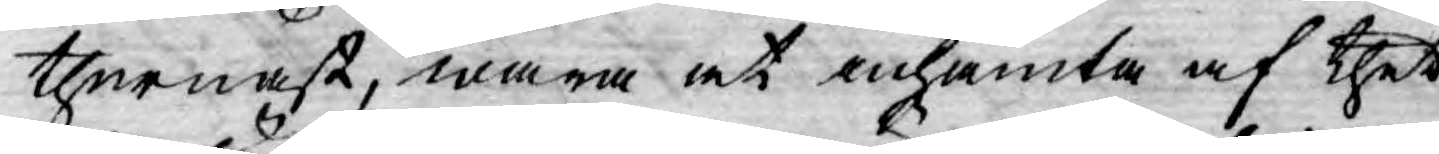thernäst, wara at inhämta af thet
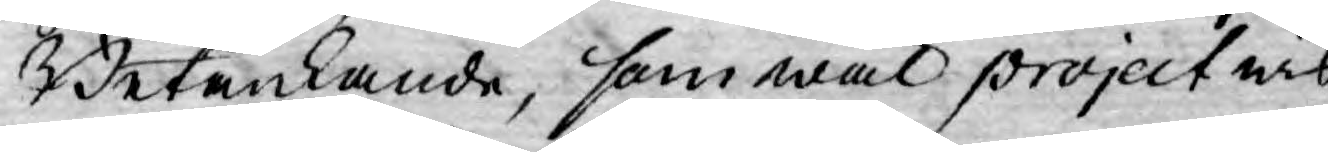Betänkande, som wäl project wis
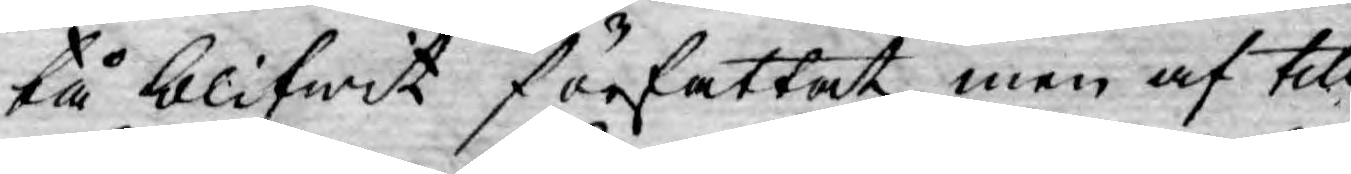tå blifwit författat men af till¬
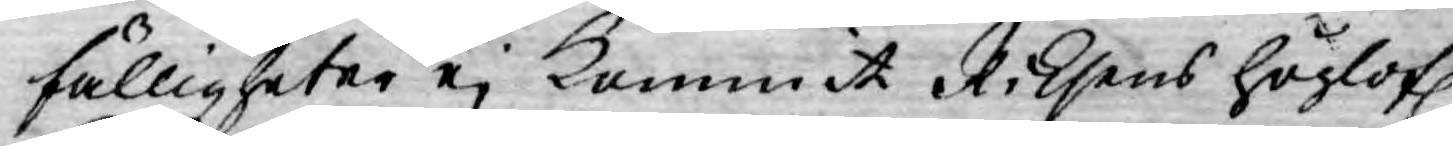fälligheter ej kommit Riksens höglofl.
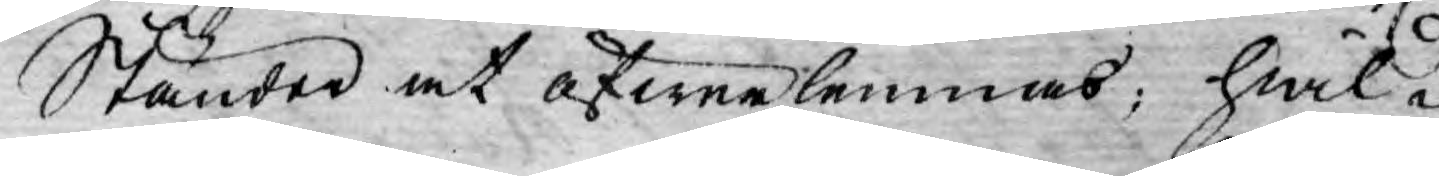Ständer at öfwerlemnas; hwil-
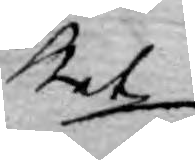ket
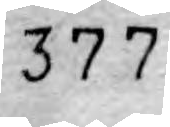377
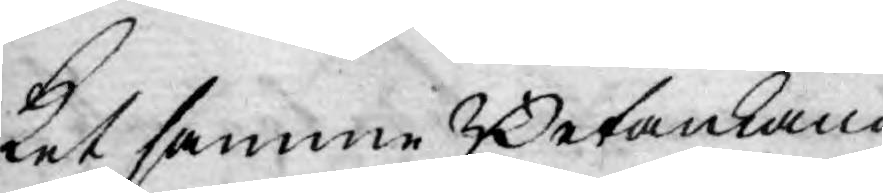ket samme Betänkande
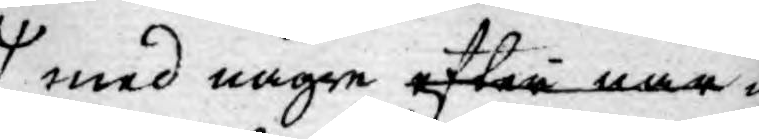med någre efter när¬
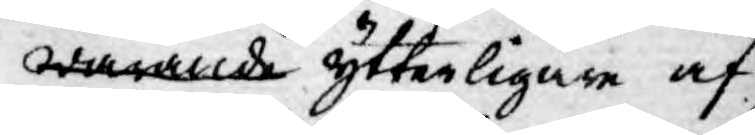warande ytterligare af
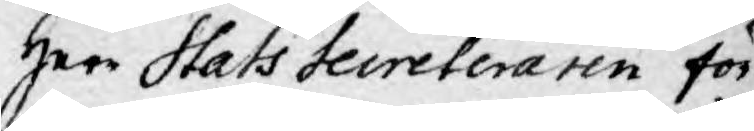Herr Stats Secreteraren för¬
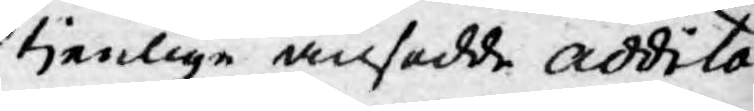tjenlige ansedde addita¬
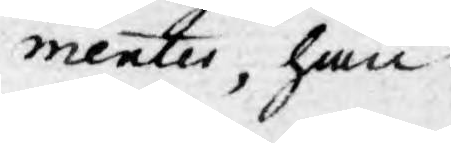mentes, han
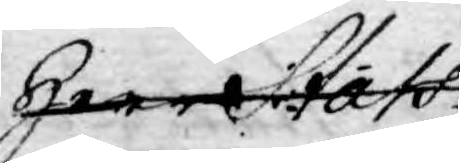herr Stats¬ 
